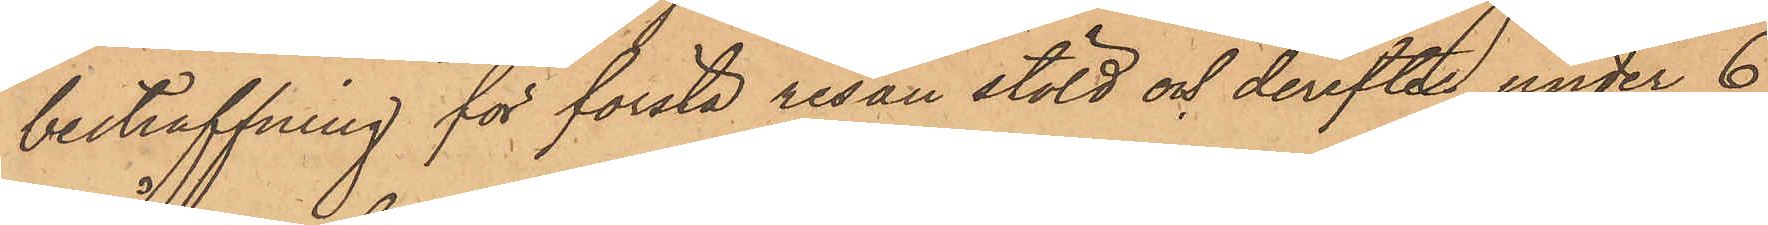bestraffning för första resan stöld och derefter under 6
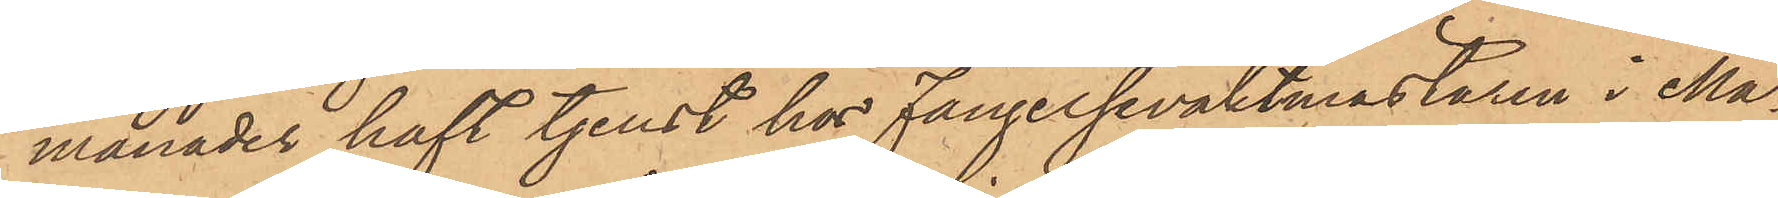månader haft tjenst hos fängelsevaktmästaren i Ma¬
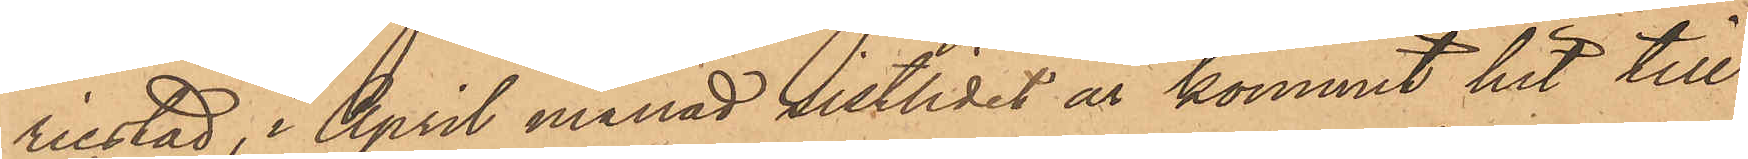riestad, i April månad sistlidet år kommit hit till
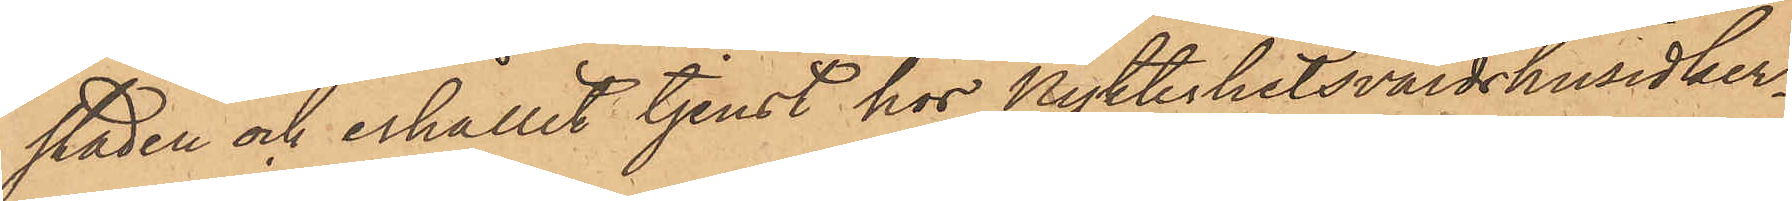staden och erhållit tjenst hos Nykterhetsvärdshusidker¬
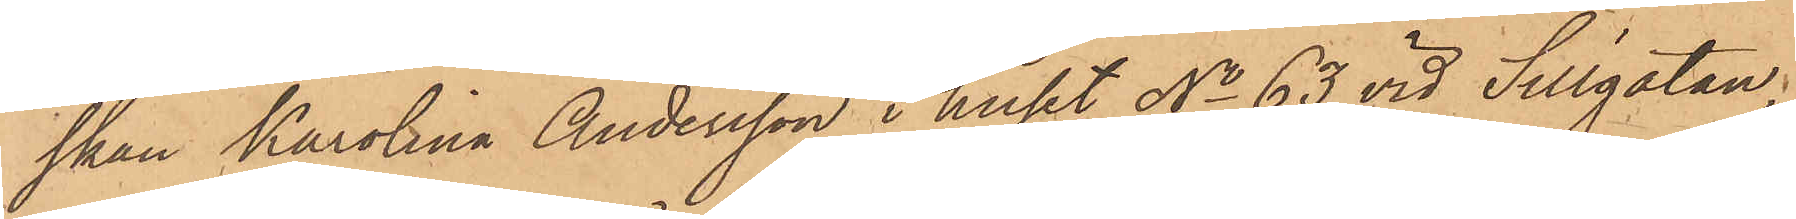skan Karolina Andersson i huset No 63 vid Sillgatan,
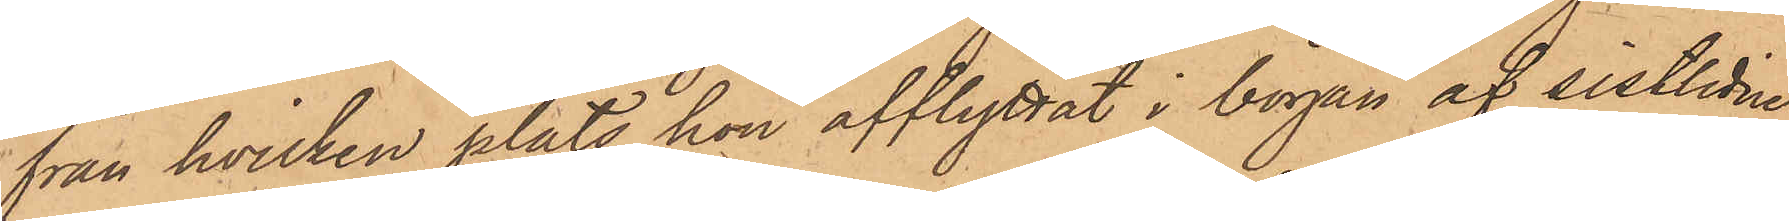från hvilken plats hon afflyttat i början af sistlidne
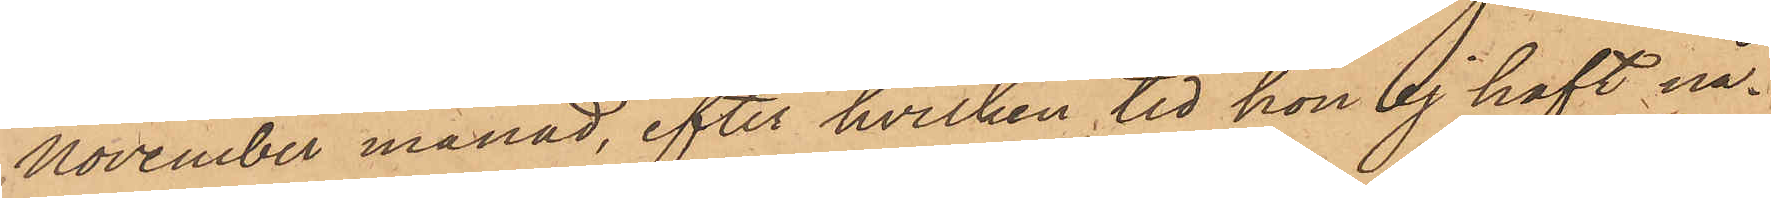November månad, efter hvilken tid hon ej haft nå¬
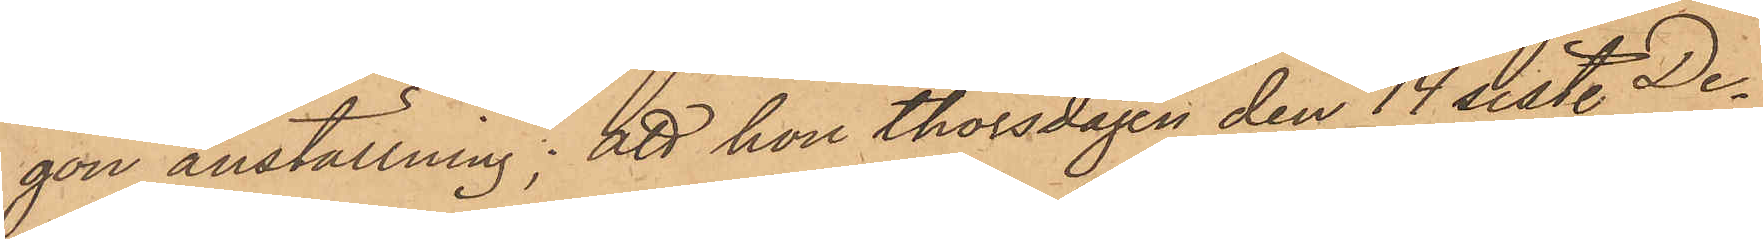gon anställning; att hon thorsdagen den 14 sist. De¬
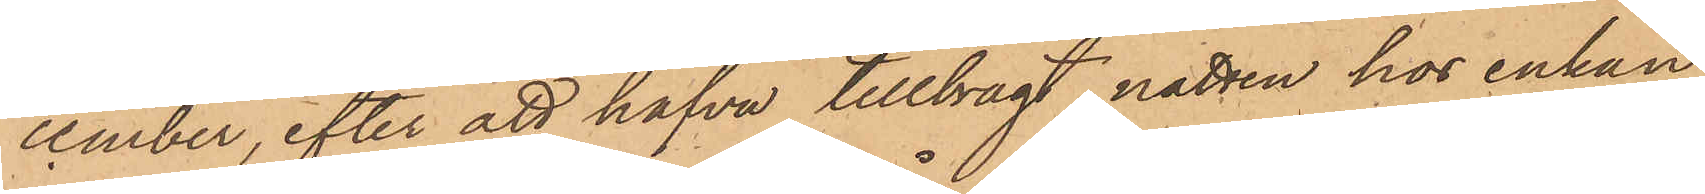cember, efter att hafva tillbragt natten hos enkan
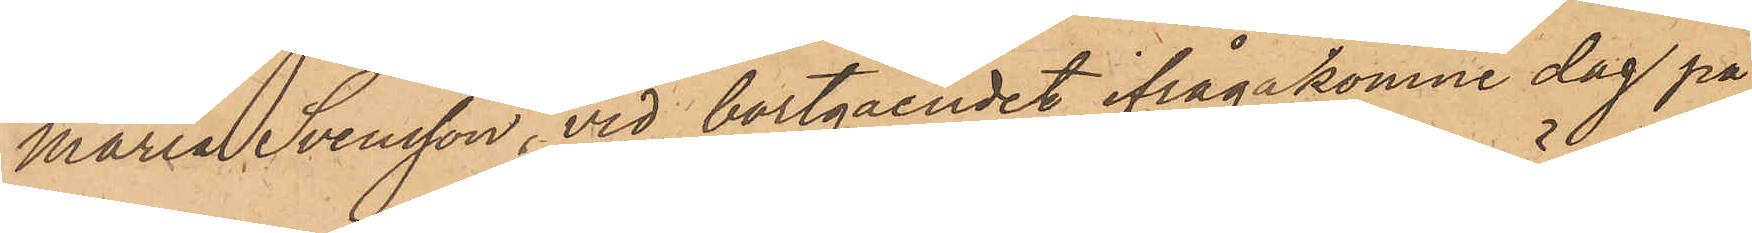Maria Svensson, vid bortgåendet ifrågakomne dag på
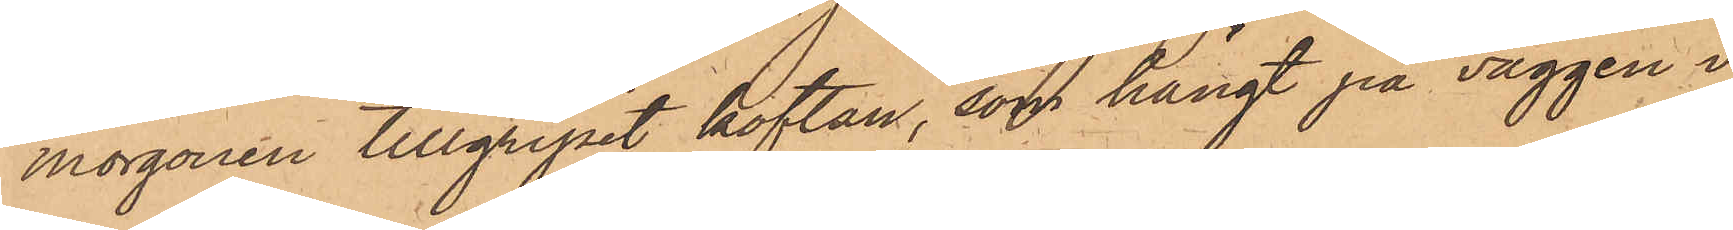morgonen tillgripit koftan, som hängt på väggen i
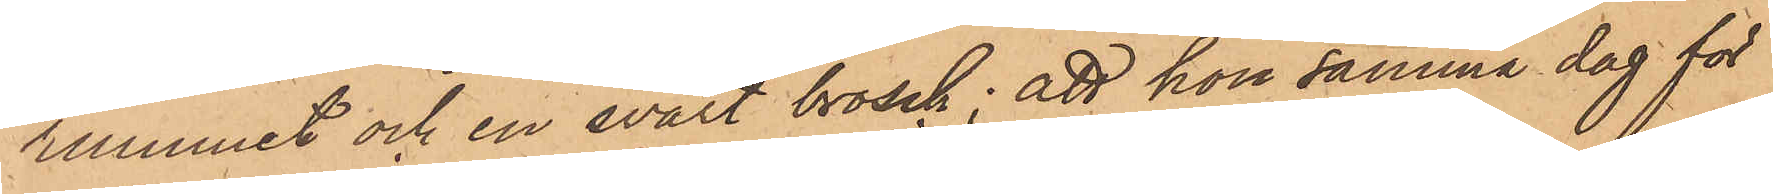rummet och en svart brosch; att hon samma dag för
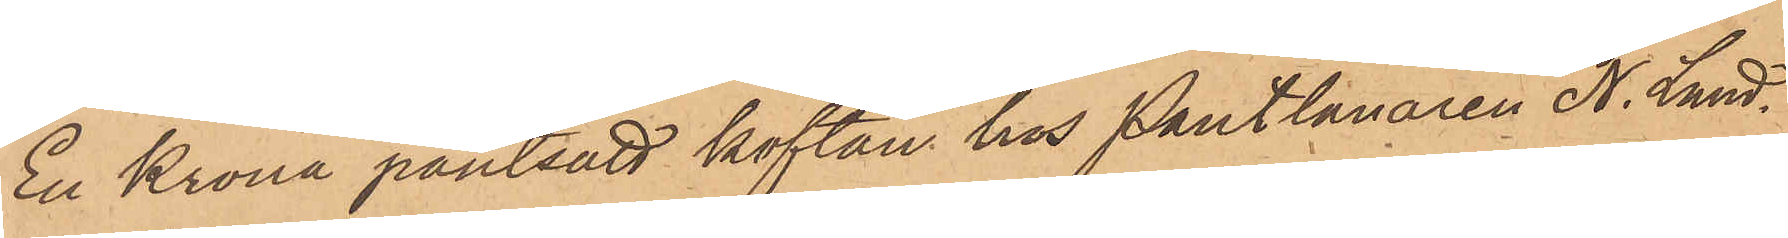En Krona pantsatt koftan hos Pantlånaren N. Lund¬
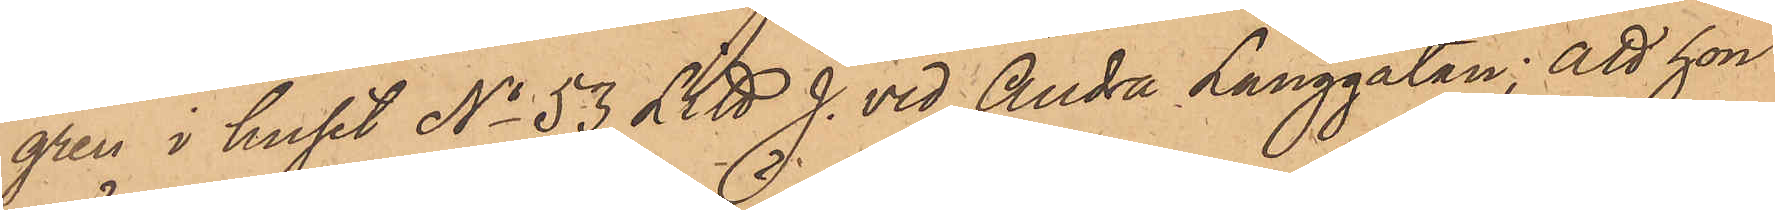gren i huset No 53 Litt. J. vid Andra Långgatan; att hon
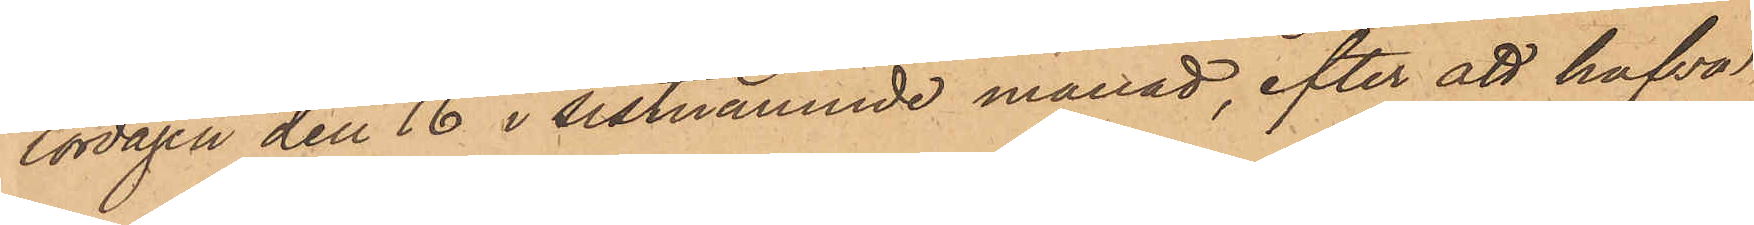lördagen den 16 i sistnämnde månad, efter att hafva
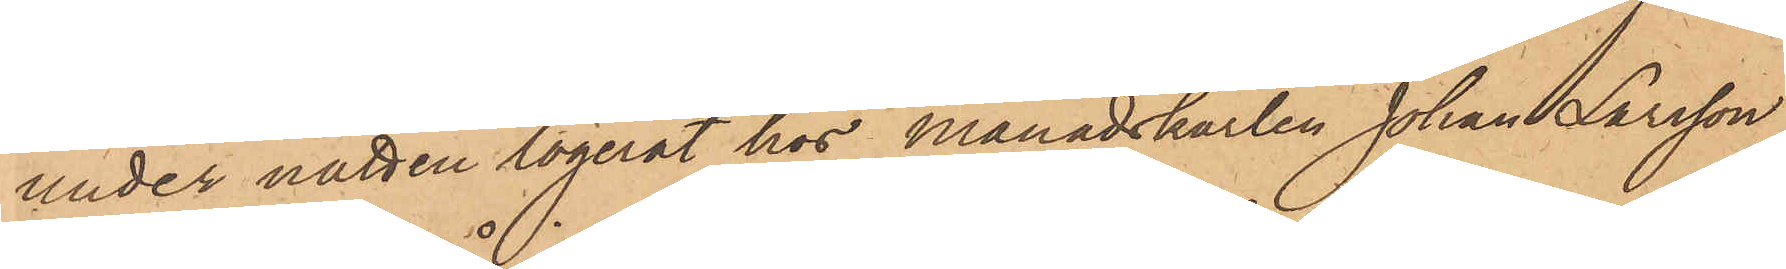under natten logerat hos månadskarlen Johan Larsson,
